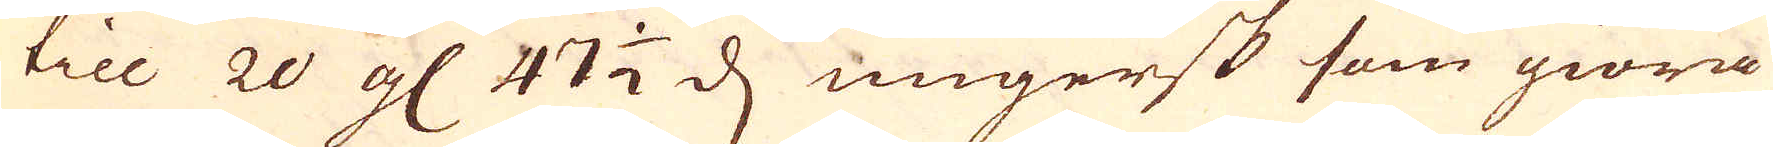till 20 gl 47 1/2 d ungersk som giöra
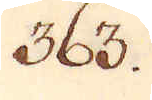363.
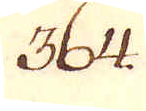364.
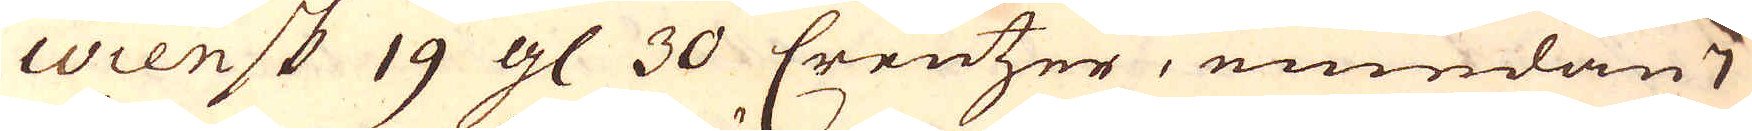Wiensk 19 gl 30 Creutzer, emedan 7
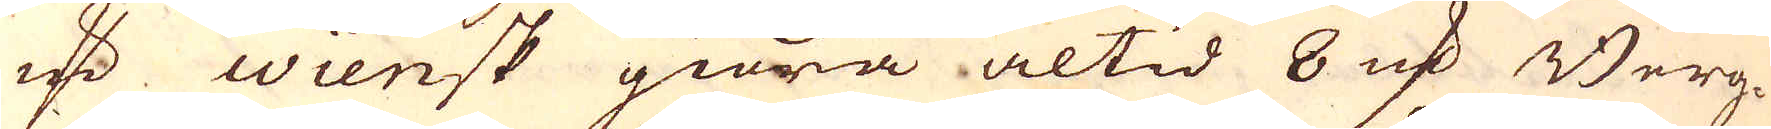marker Wiensk giöra altid 8 marker Berg-
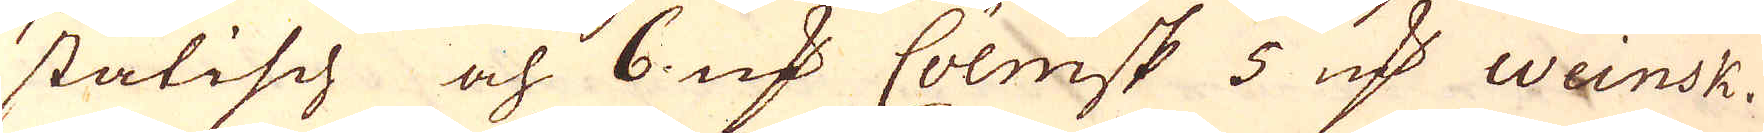stätisch och 6 marker Cölnisk 5 marker Wiensk.
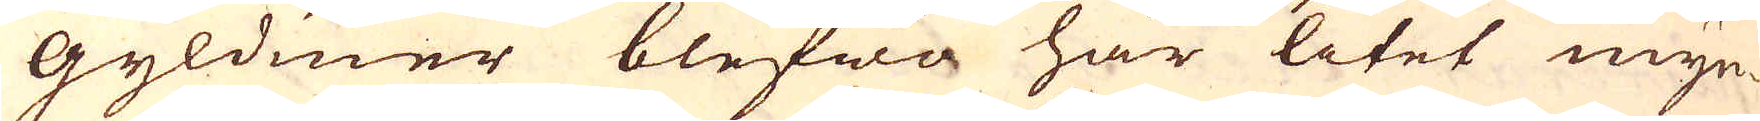Gyldiner blefwa har litet myn-
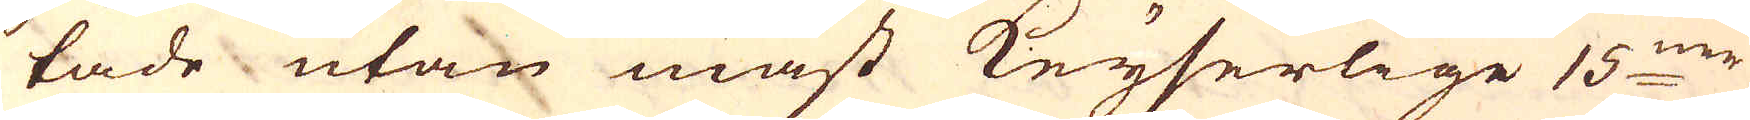tade utan mäst Keyserlige 15:mr
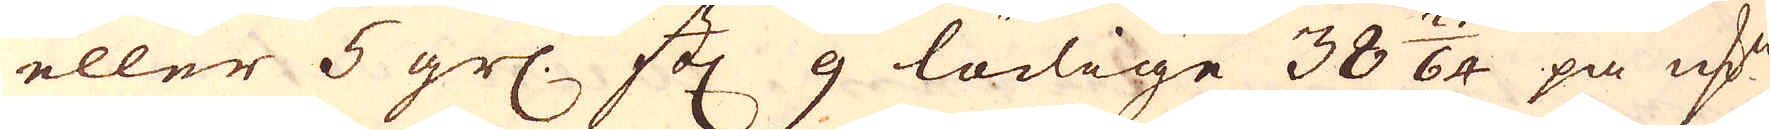eller 5 grs. st: 9 lödige 38 25/64 på marken
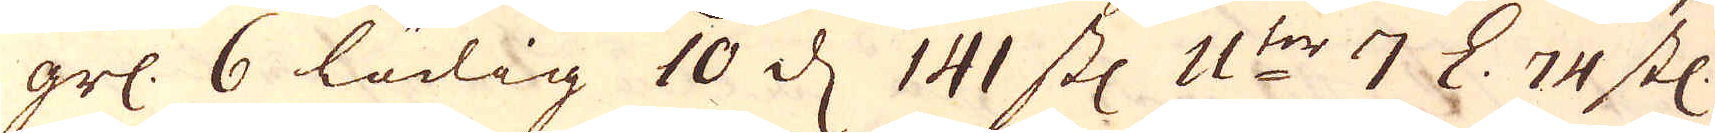grs. 6 lödig 10 d 141 st: 11:ter 7 L. 74 st:
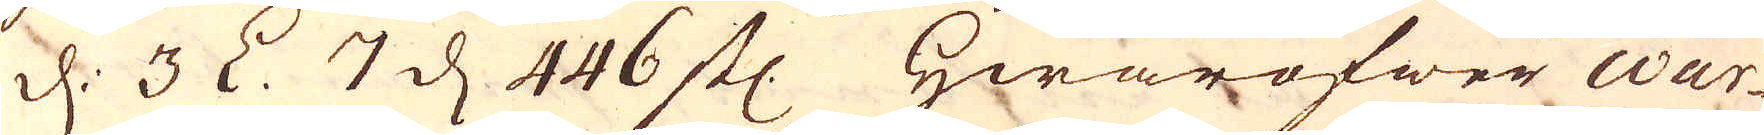d: 3 L. 7 d 446 st: Hwaröfwer war-
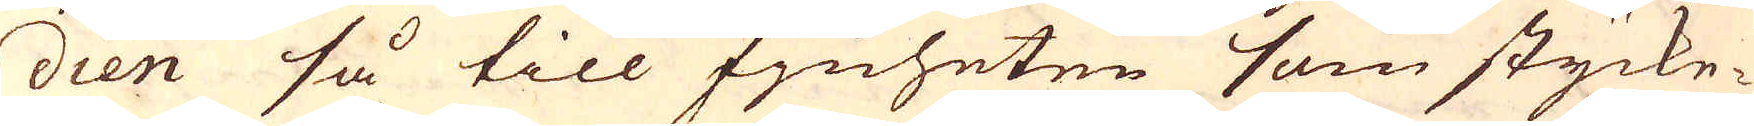dien så till fjnheten som stycke-
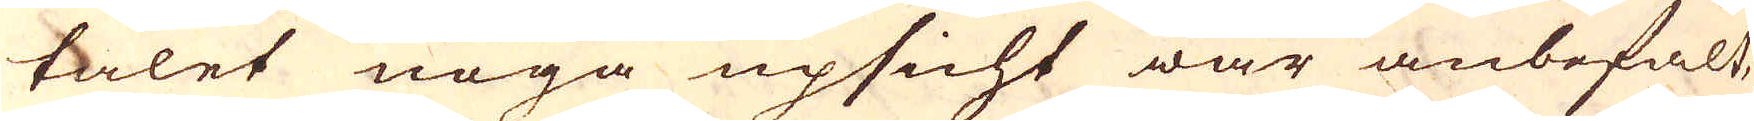talet noga upsicht war anbefalt,
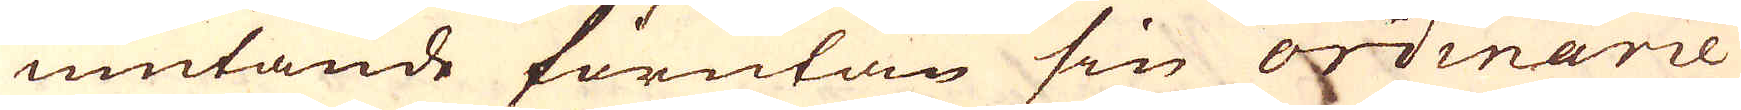niutande förutan sin ordinarie
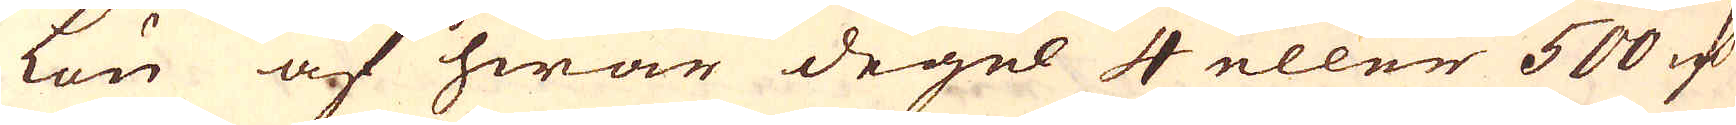lön af hwar degel 4 eller 500 marker
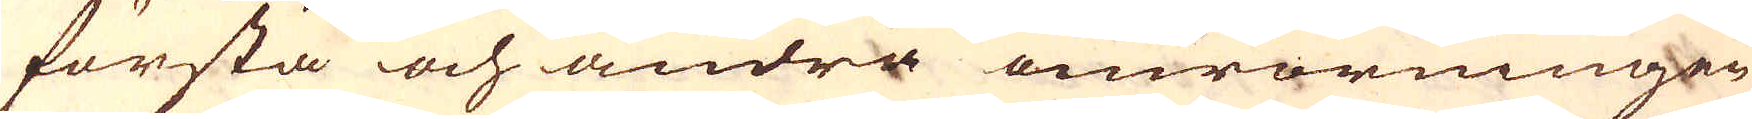första och andra omrörningen
